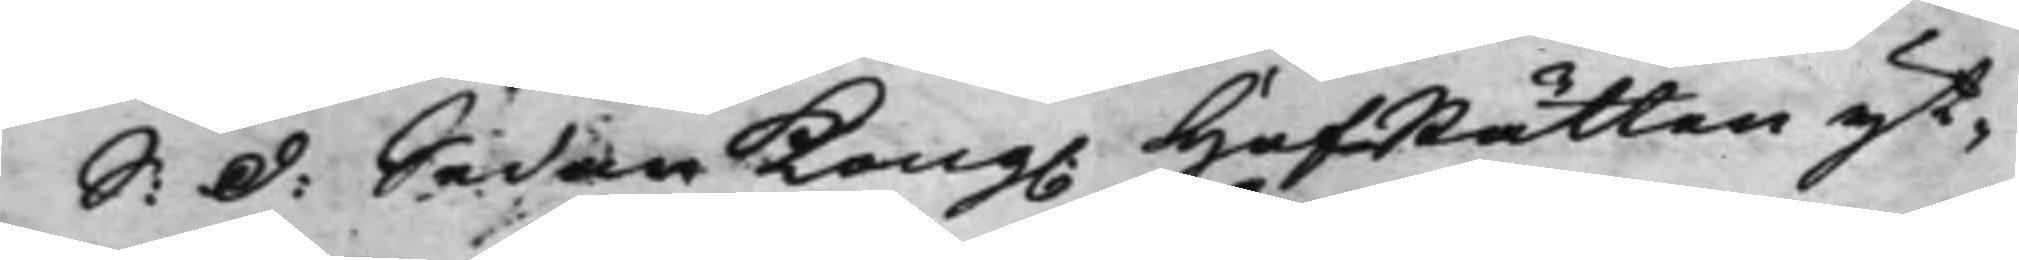S: d: Sedan Kong. HofRätten yt¬
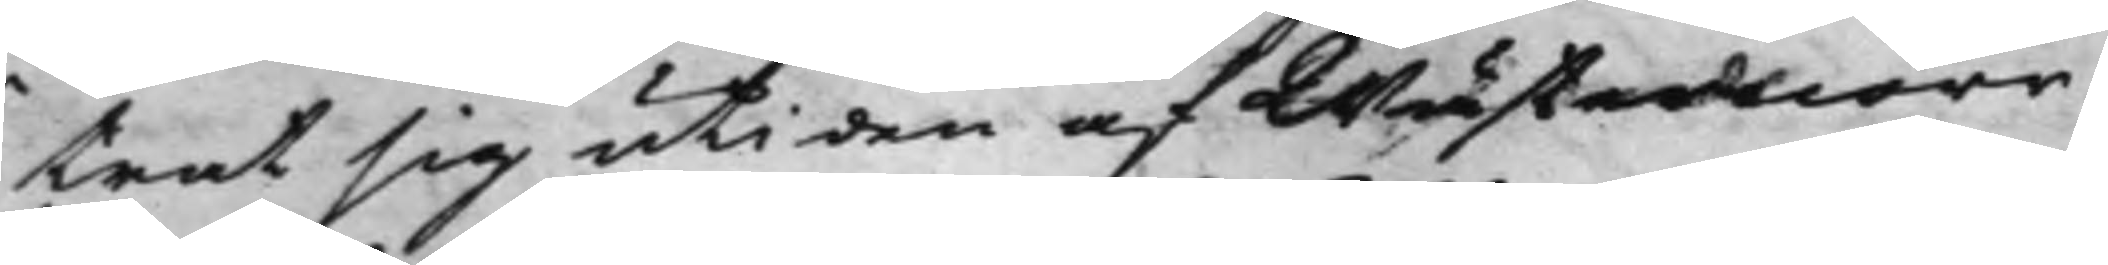trat sig uti den af Wästernorr¬
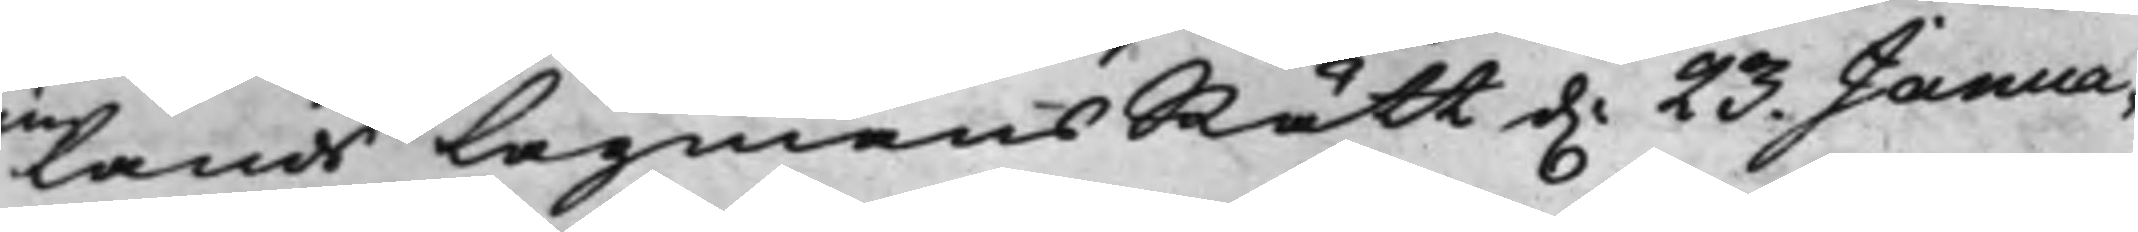lands LagmansRätt d. 23. Janua¬
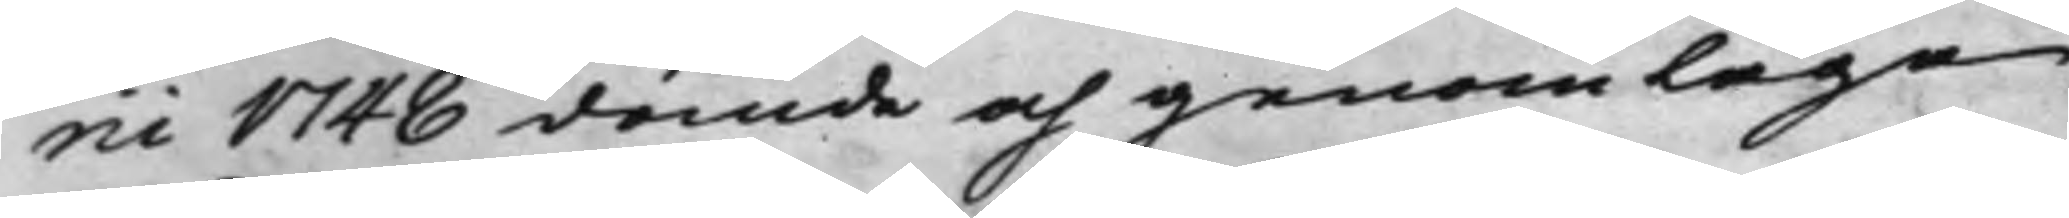rii 1748 dömde och genom laga
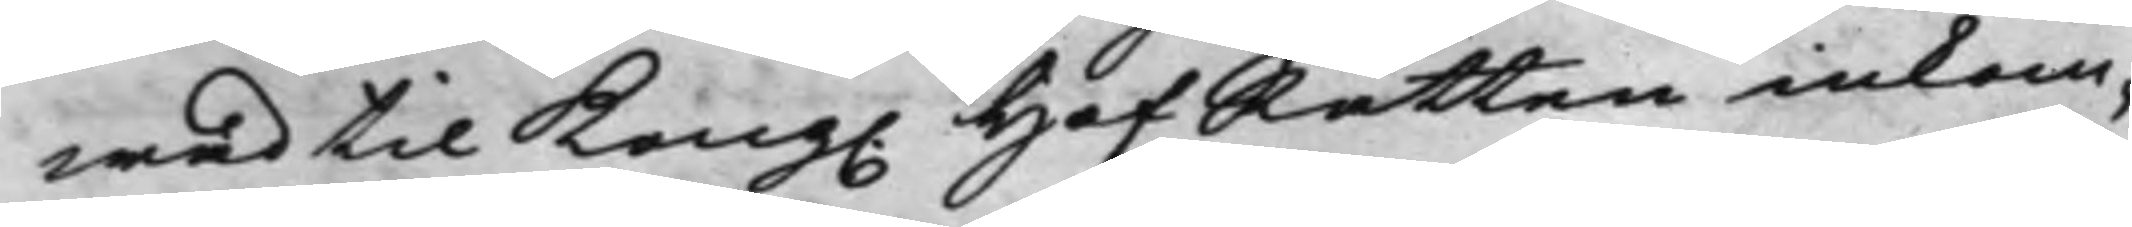wad til Kong. HofRätten inkom¬
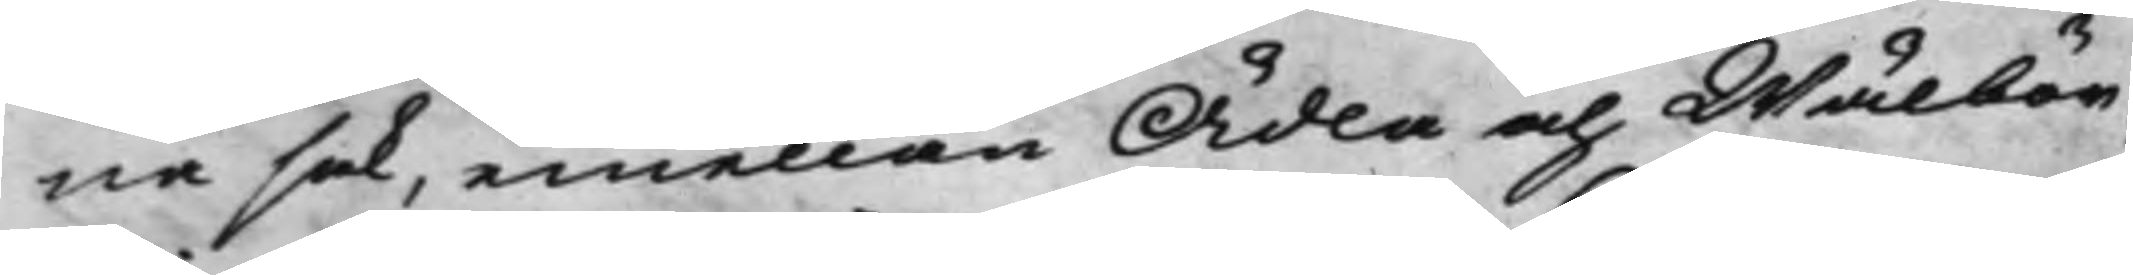na sak, emellan Ädla och Wälbör¬
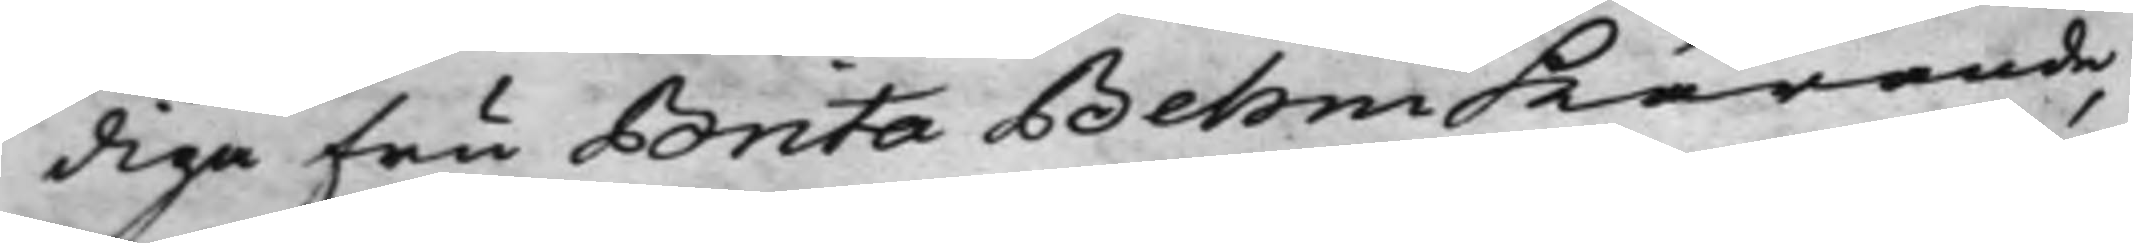diga Fru Brita Behm kärande,
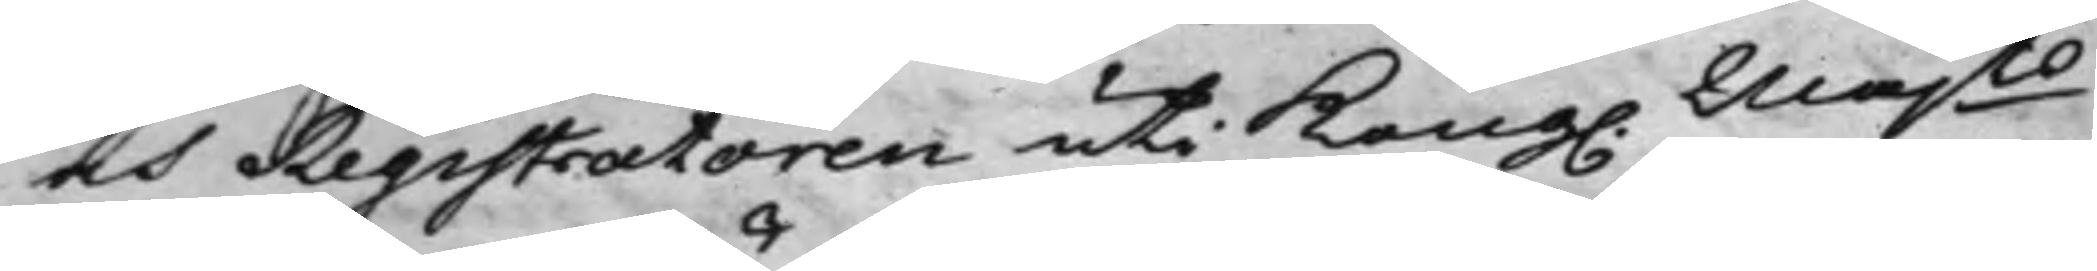och Registratoren uti Kong. Majts
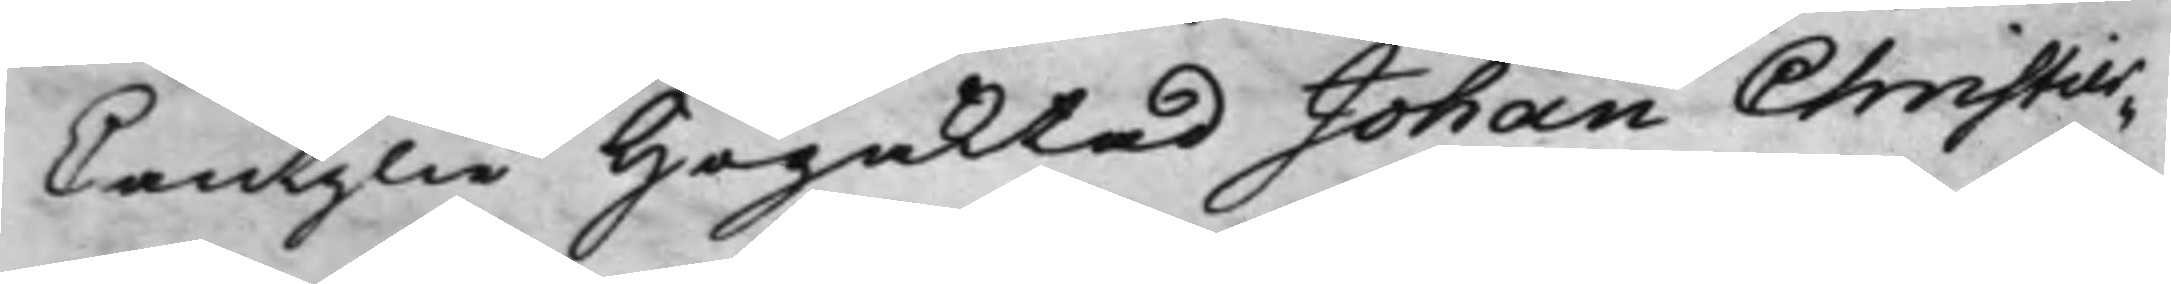Cantzlie Högaktad Johan Christier¬
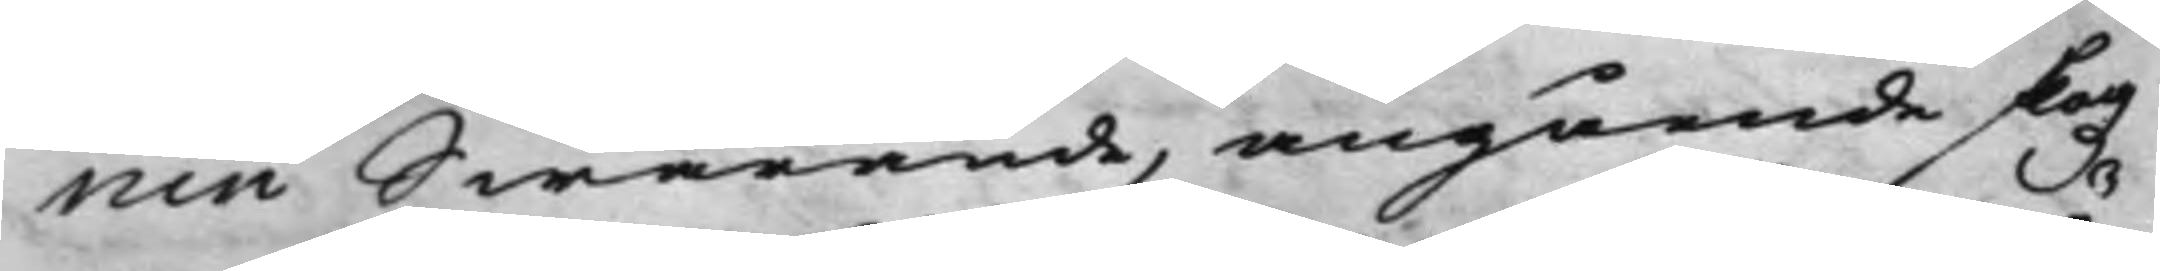nin Swarande, angående skogz¬
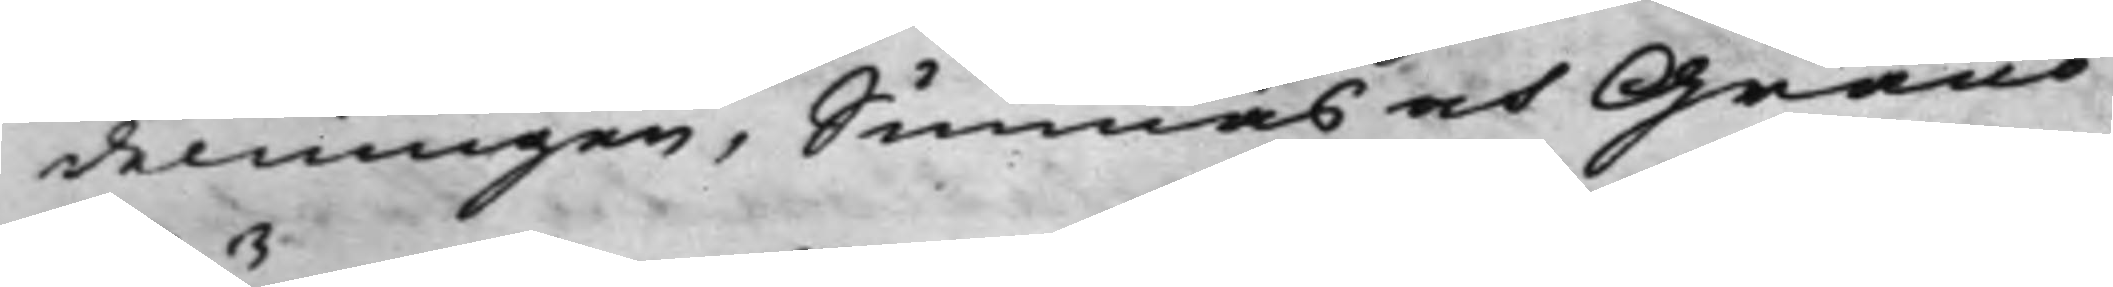delningen, Sunnäs oct Granö
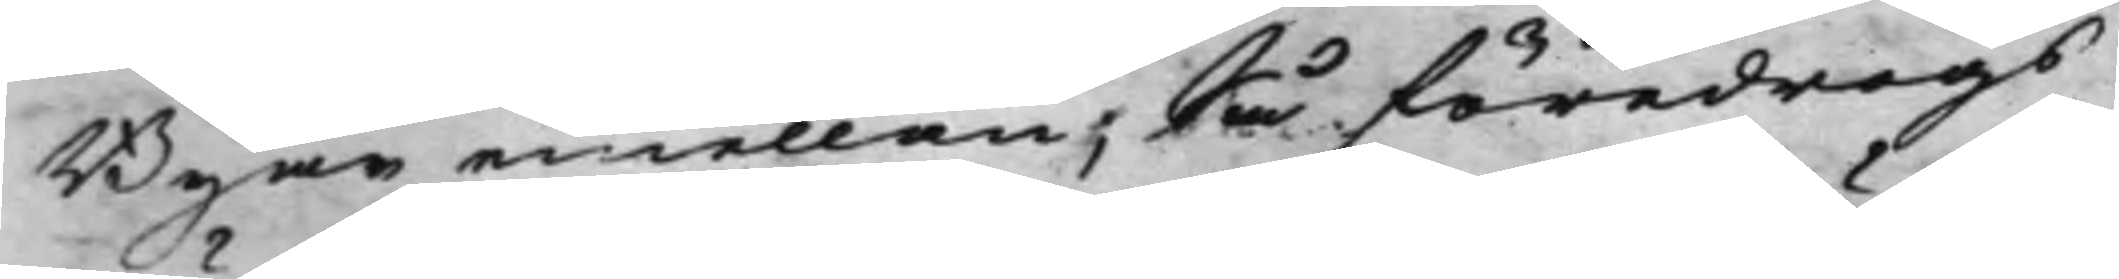Byar emellan, så föredrogs
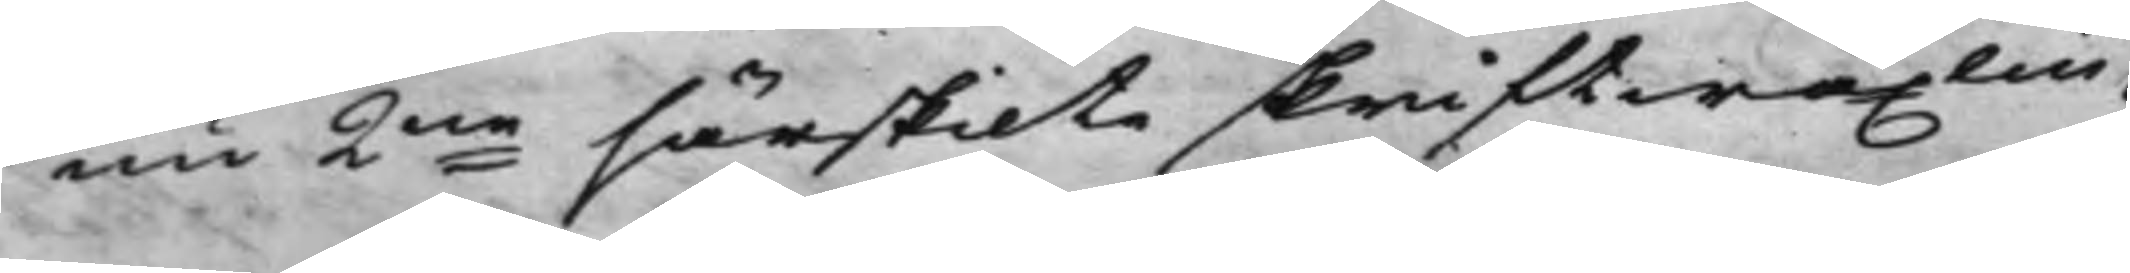nu 2ne särskilte skriftwäxlin¬
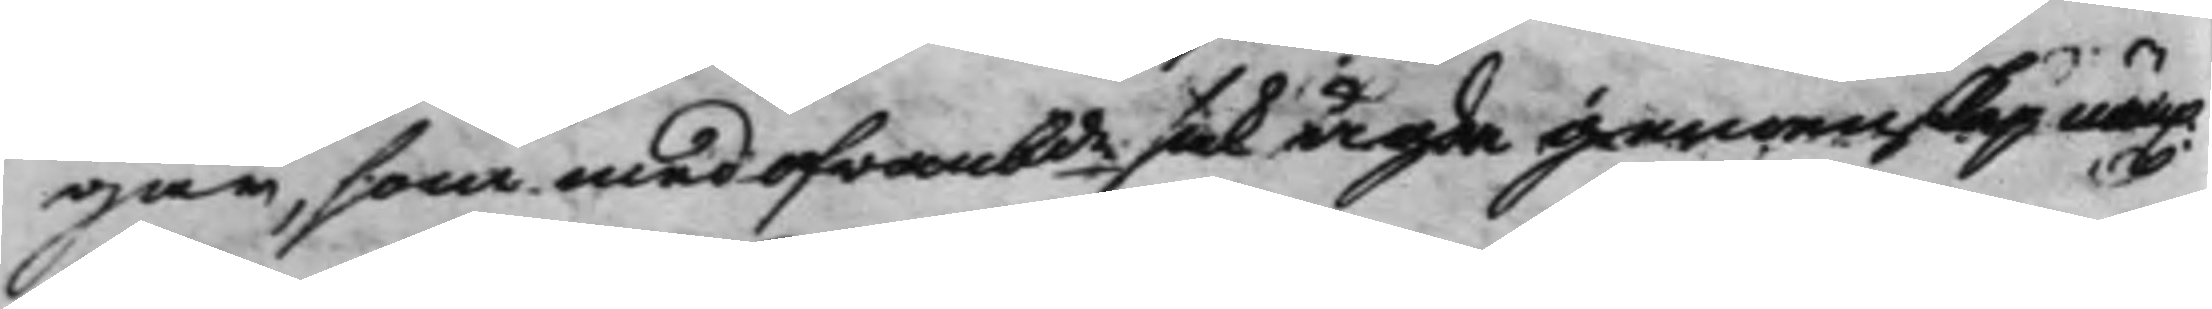gar, som med ofwanbde sak ägde gemenskap näm.
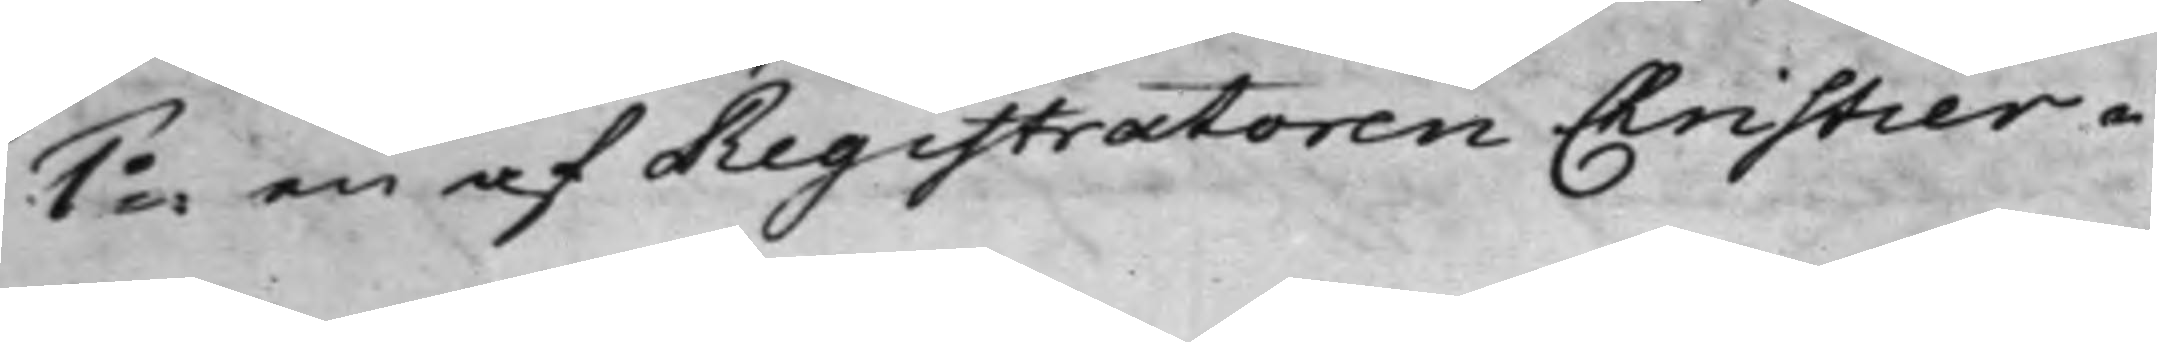1o: en af Registratoren Christier ¬
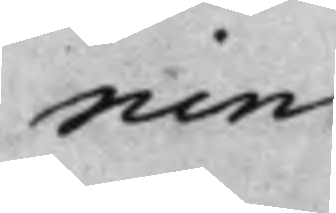nin
